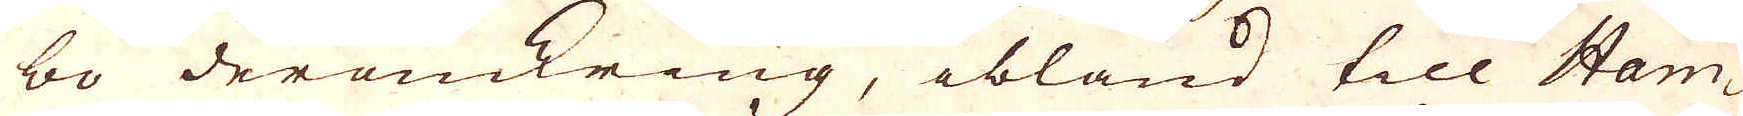bo deromkring, ibland till Ham-
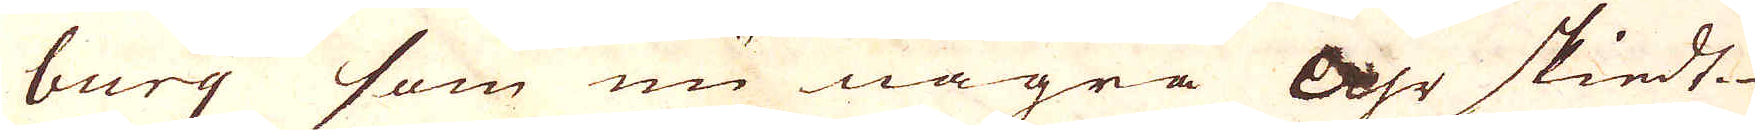burg som nu några Åhr skiedt
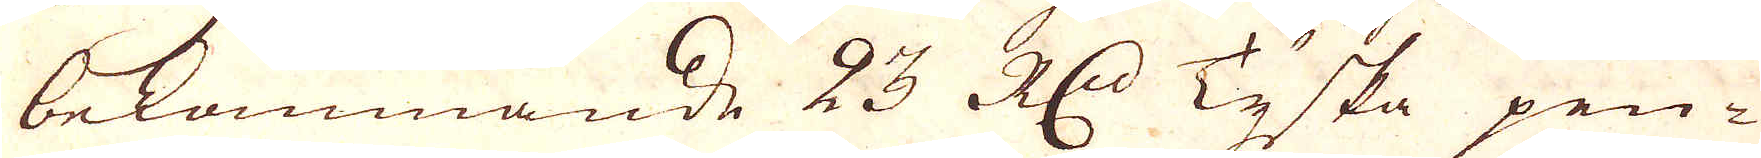bekommande 23 R:dr Tyska pen-
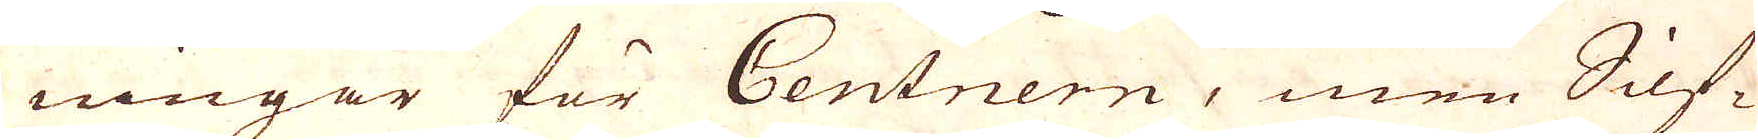ningar för Centnern, men Silf-
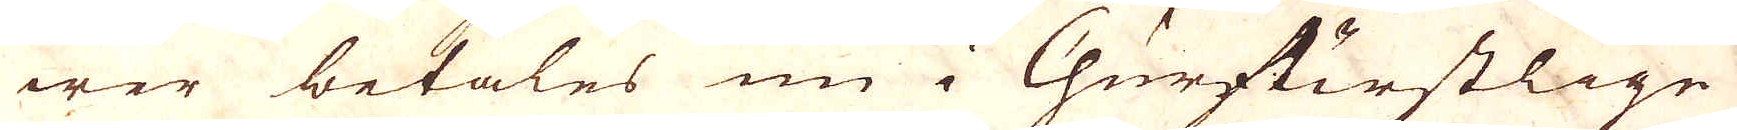wer betales nu i Churfurstlige
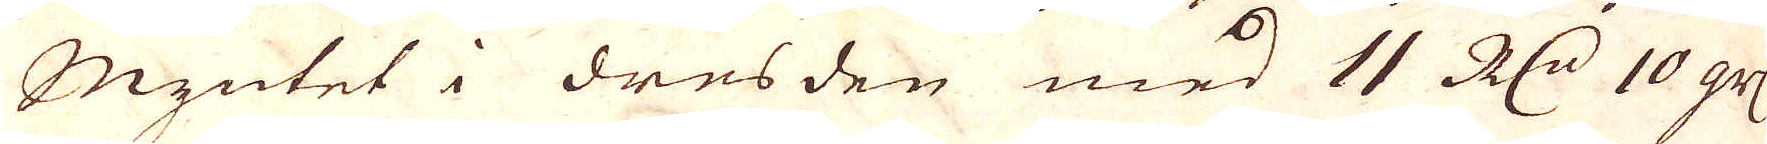Myntet i dresden med 11 R:r 10 gr:
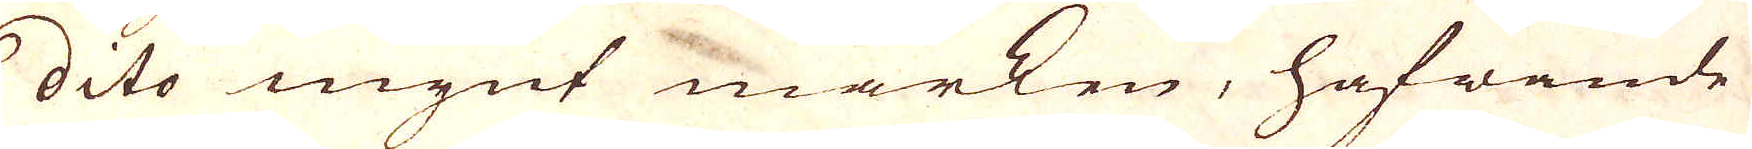dito mynt märken, hafwende
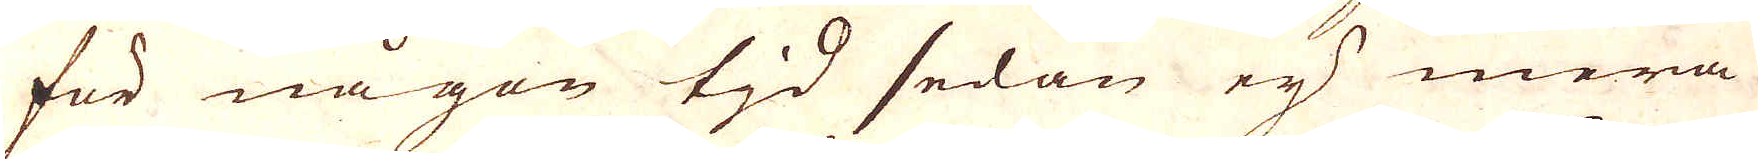för någon tid sedan ej mera
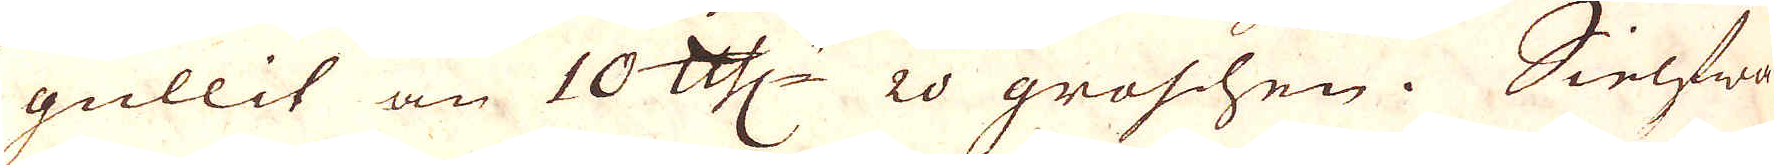gullit än 10 skålpund 20 groshen. Sielfwa
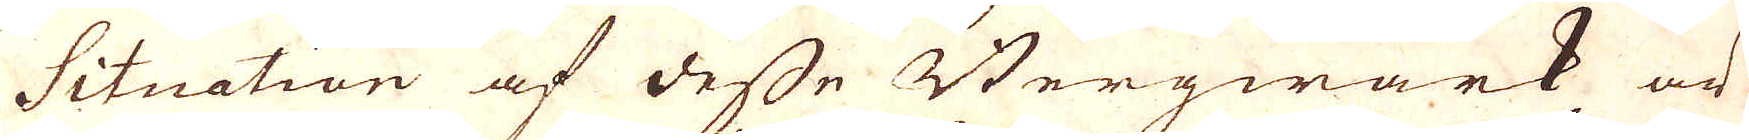Situation af desse Bergwärk och
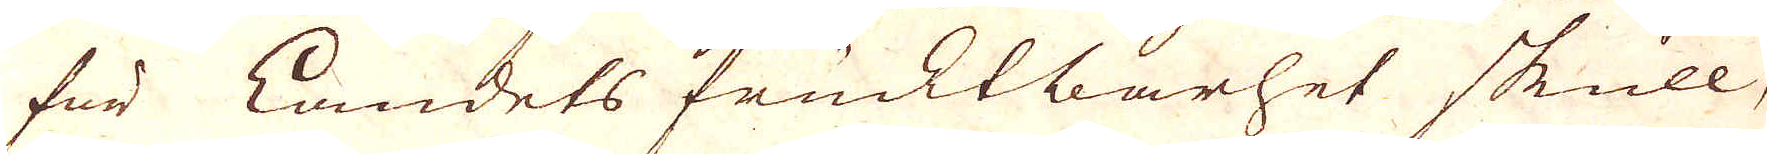för Landets frucktbarhet skull,
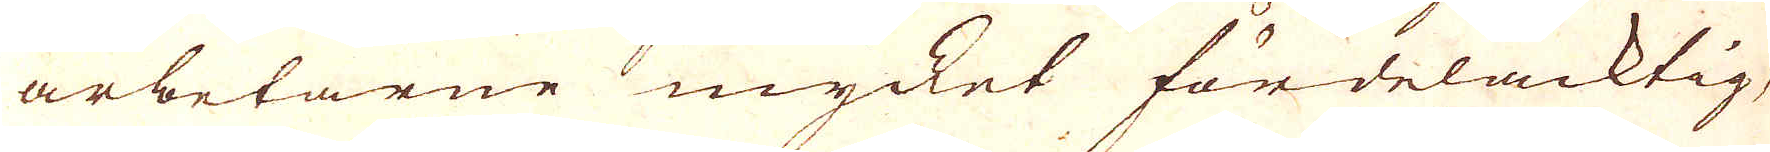arbetarne mycket fördelacktig,
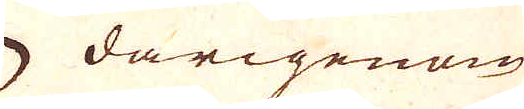 därigenom
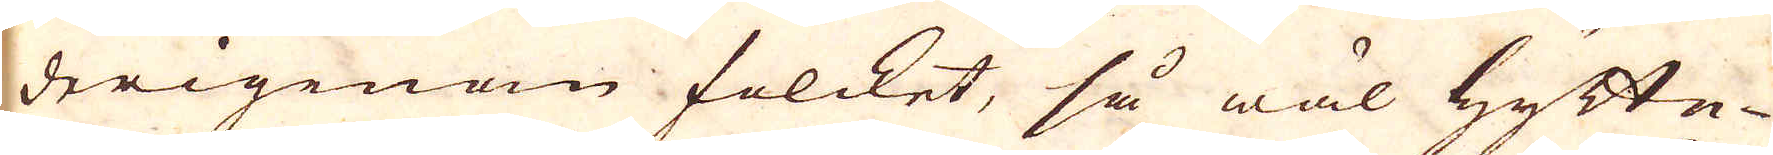derigenom folket, så wäl hytte-
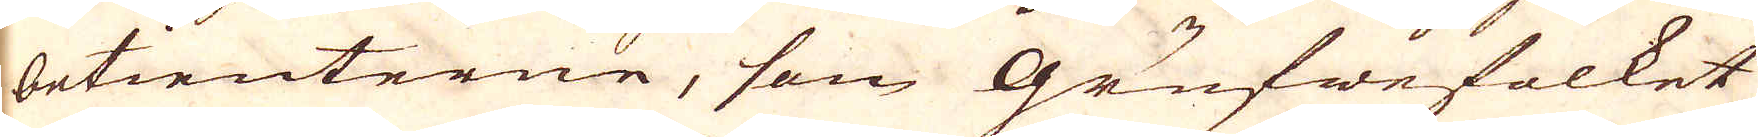betienterne, som grufwefolket
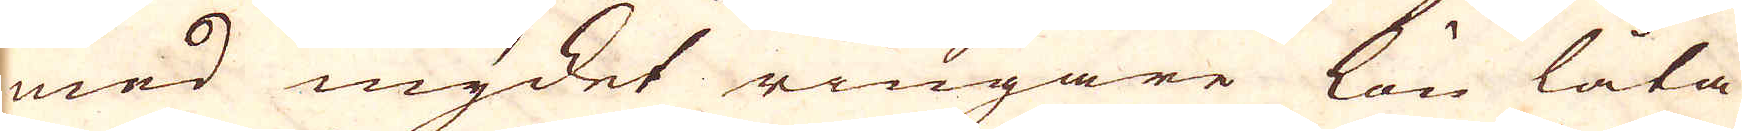med mycket ringare lön låta
